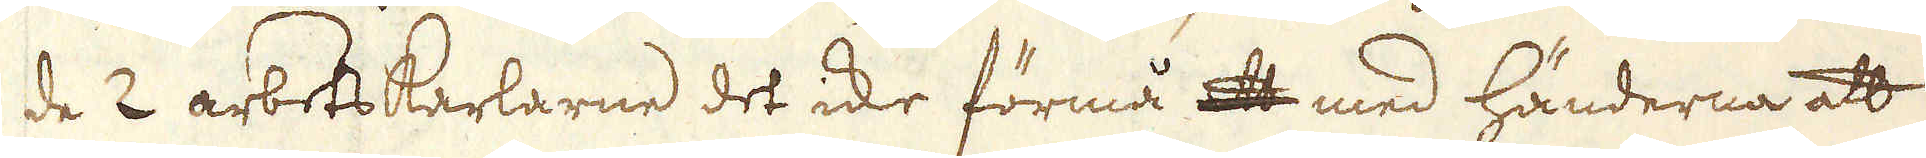de 2 arbetskarlarne det icke förmå att med händerna att
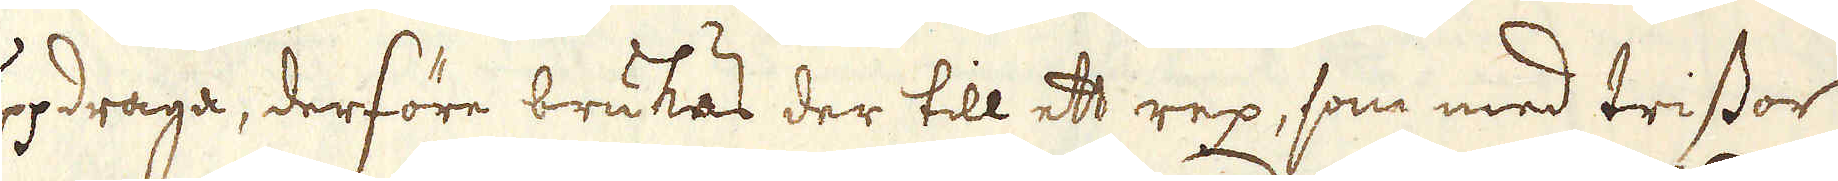uppdraga, derföre brukas der till ett rep, som med trissor
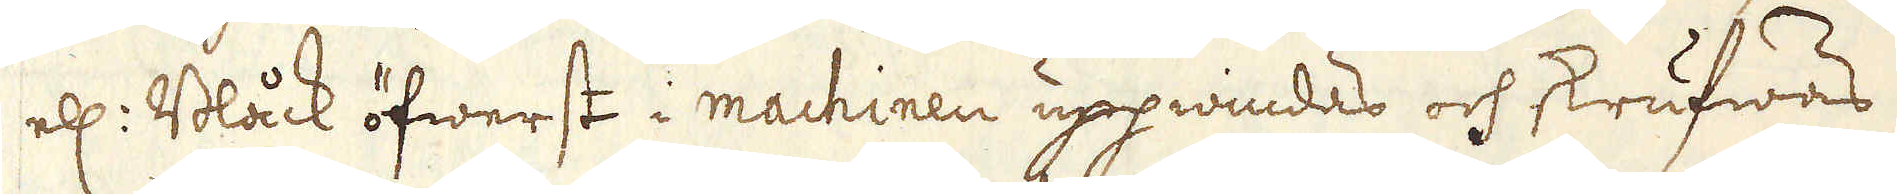ell: Blåck öfwerst i machinen uppwindas och skrufwas
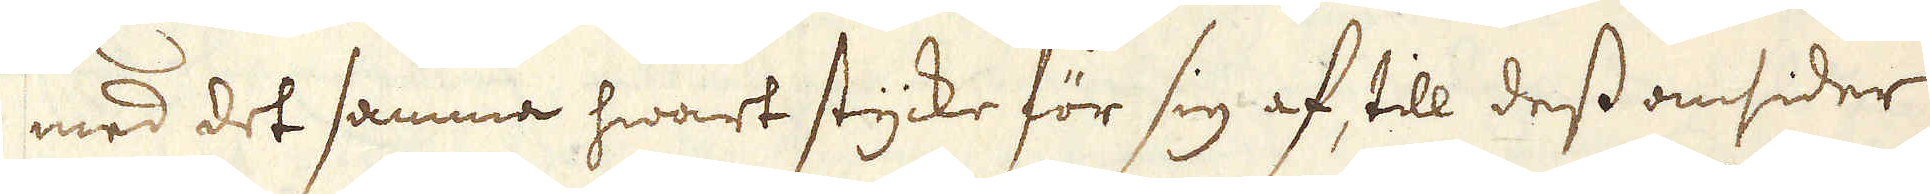med det samma hwart stycke för sig af, till dess omsider
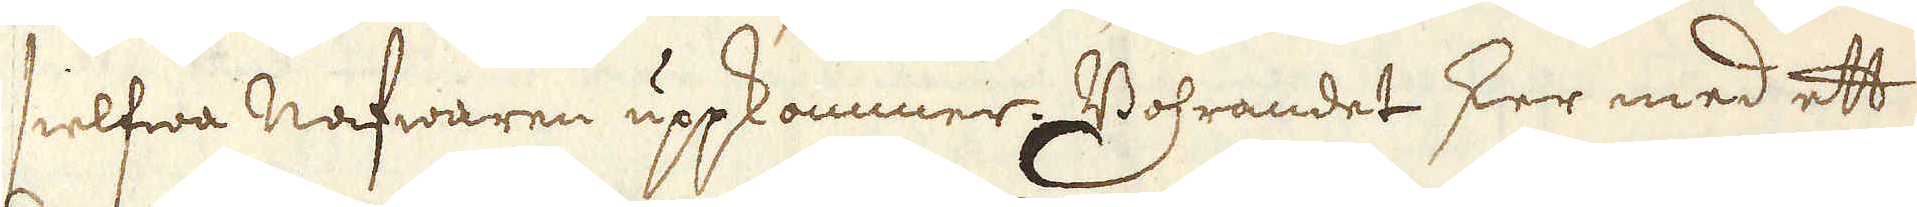sielfwa Nafwaren uppkommer. Bohrandet sker med ett
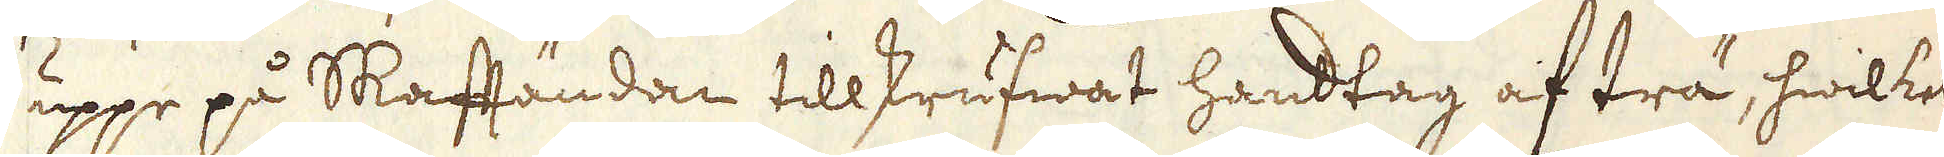uppe på Skaftändan tillskrufwat handtag af trä, hwilket
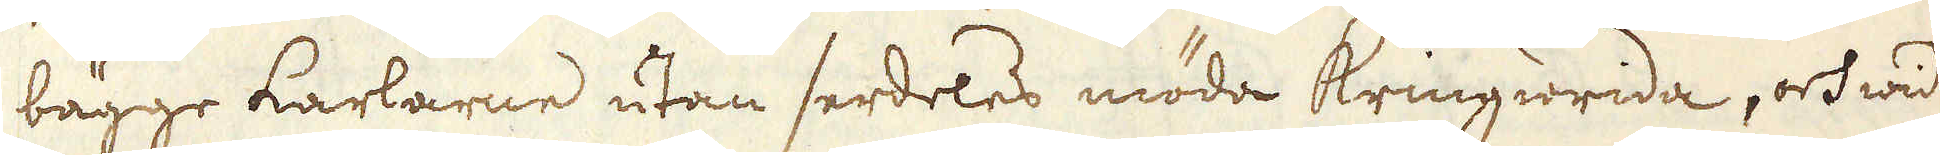bägge karlarne utan serdeles möda Kringwrida, och wid
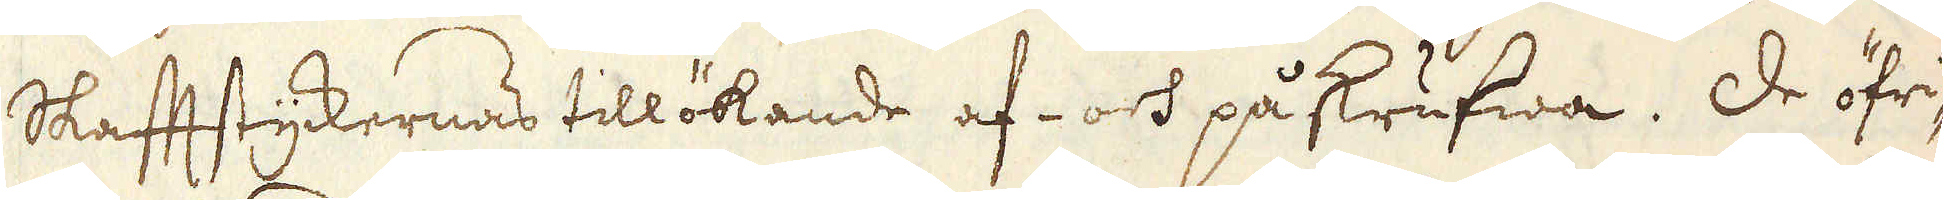Skafftstyckernas tillökande af- och påskrufwa. De öfri-
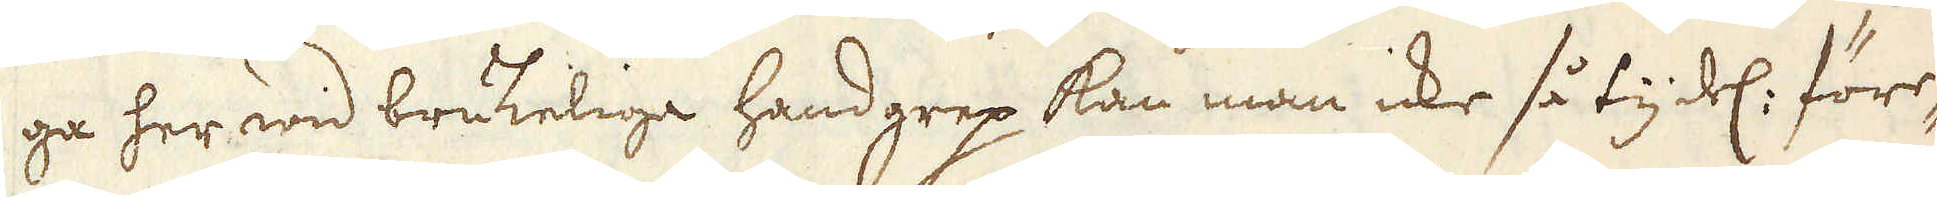ga her wid brukelige handgrep kan man icke så tydel: före-
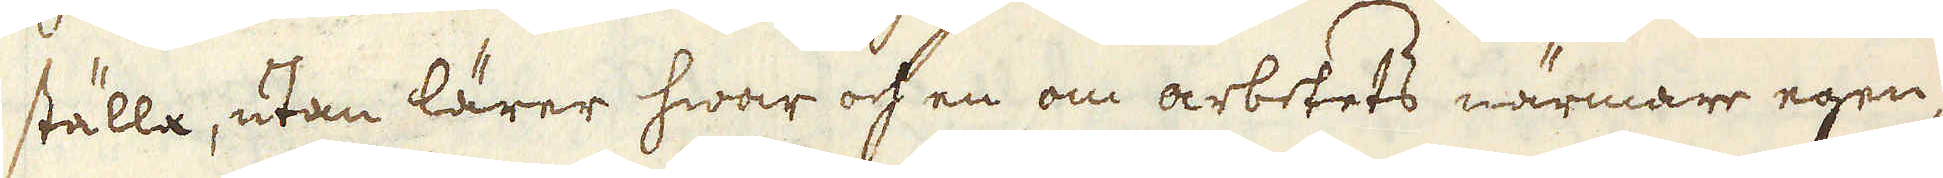ställa, utan lärer hwar och en om arbetets närmare egen-
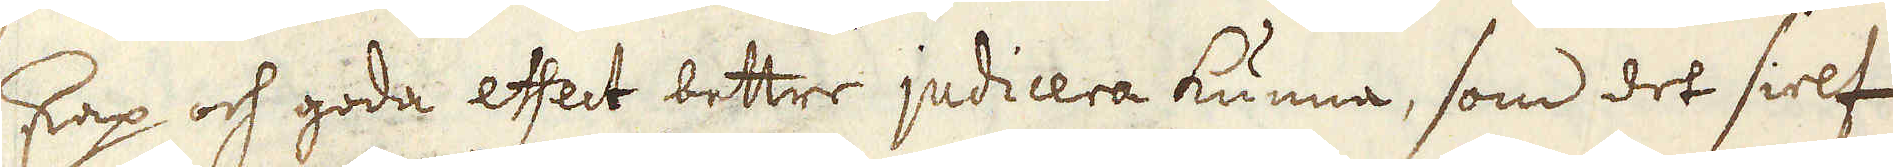skap och goda effect bettre judicera kunna, som det sielf
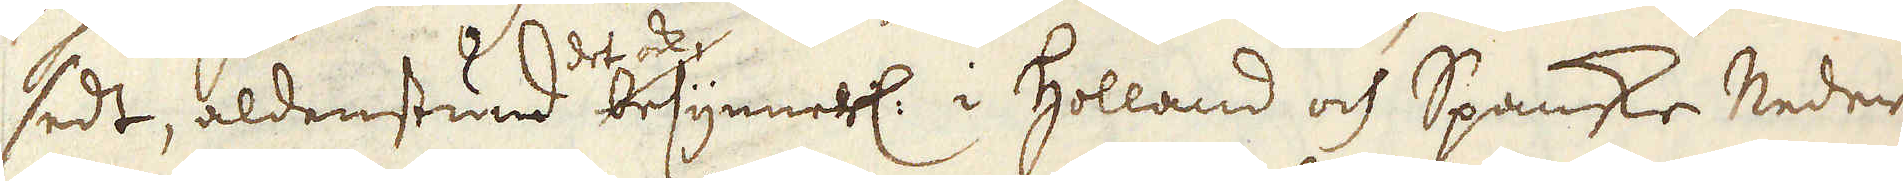sedt, aldenstund det ock besynnerl: i Holland och Spanske Neder-
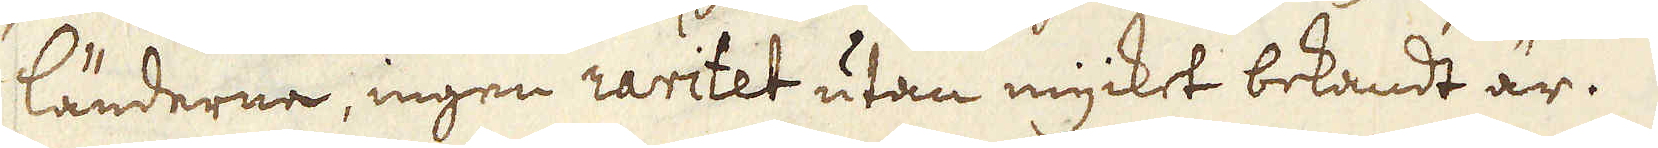länderne, ingen raritet utan mycket bekandt är.
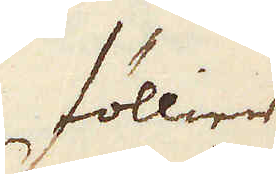Föllier
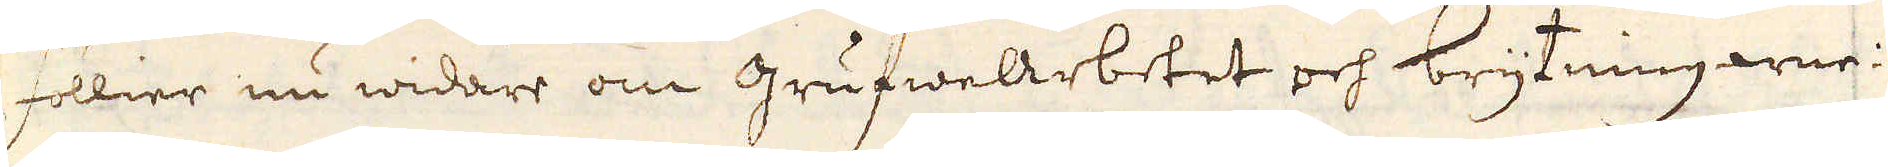föllier nu widare om grufwearbetet och brytningarne:
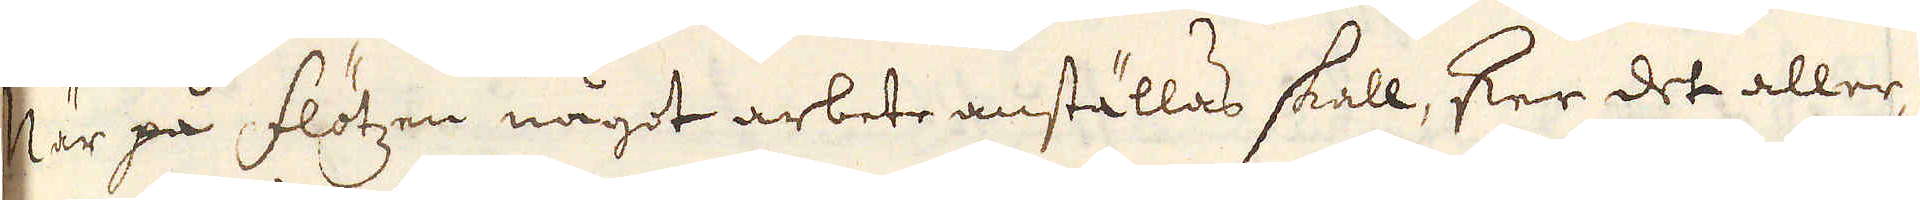När på flötzen något arbete anställas skall, sker det aller-
